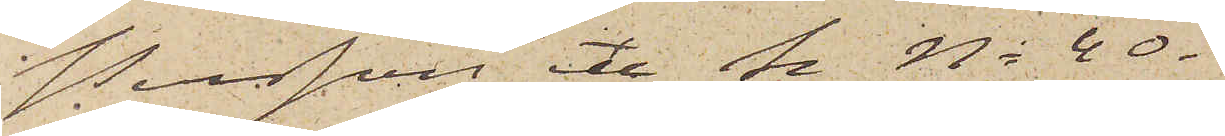Persson etc Se No 40.
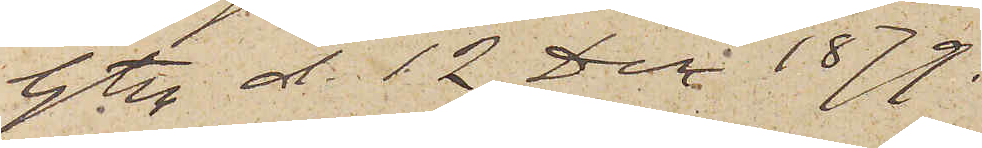Gtbg d. 12 Dec 1879.
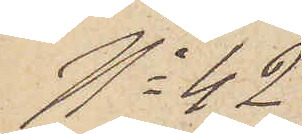No 42
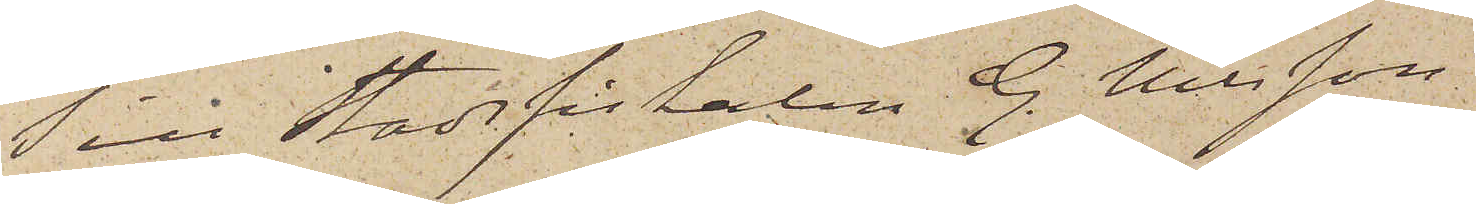Till Stadsfiskalen G. Nilsson,
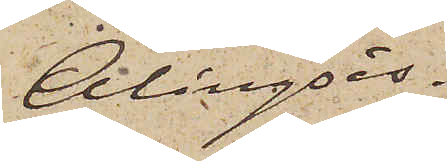Alingsås.
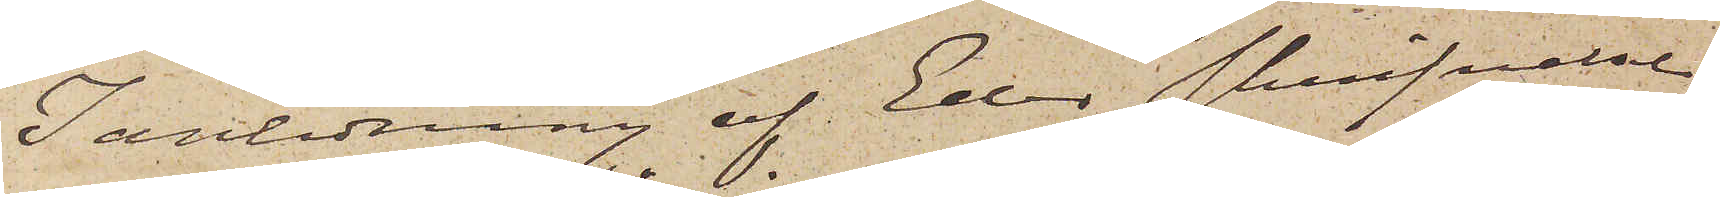I anledning af Eder skrifvelse
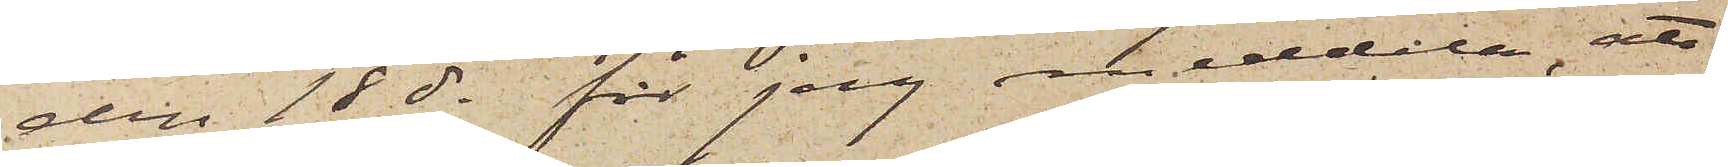den 18 ds får jag meddela, att
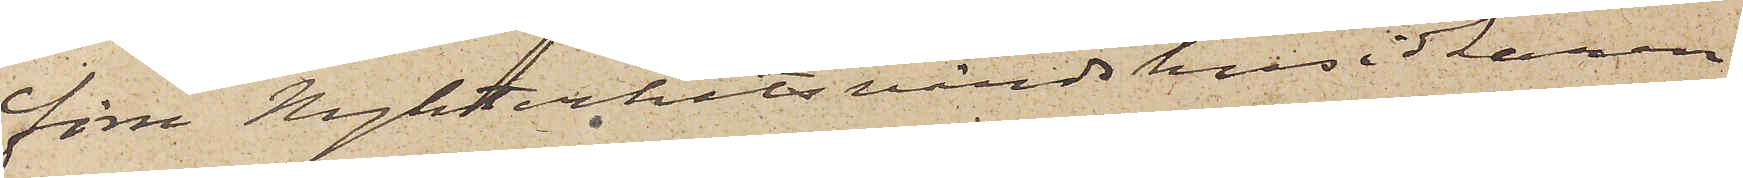förre Nykterhetsvärdshusidkaren
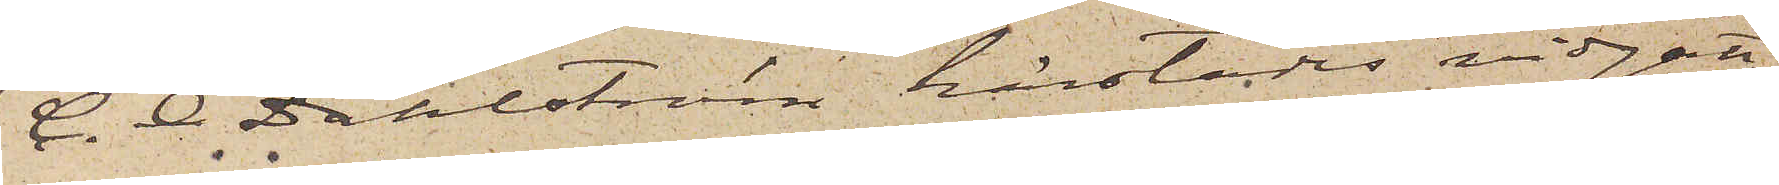C. O. Dahlström härstädes vidgått,
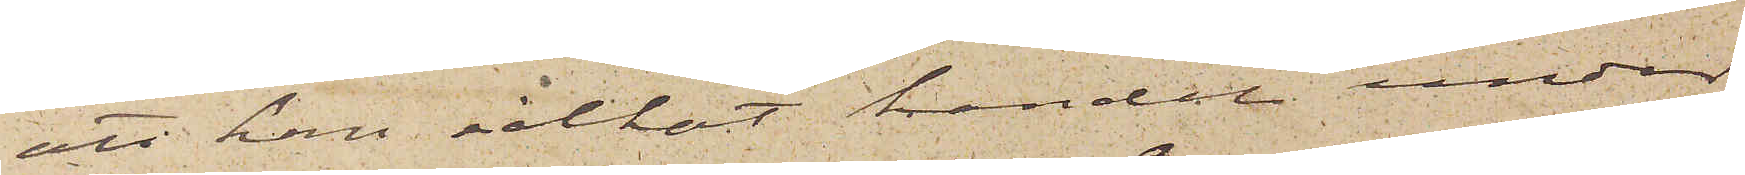att han idkat handel under
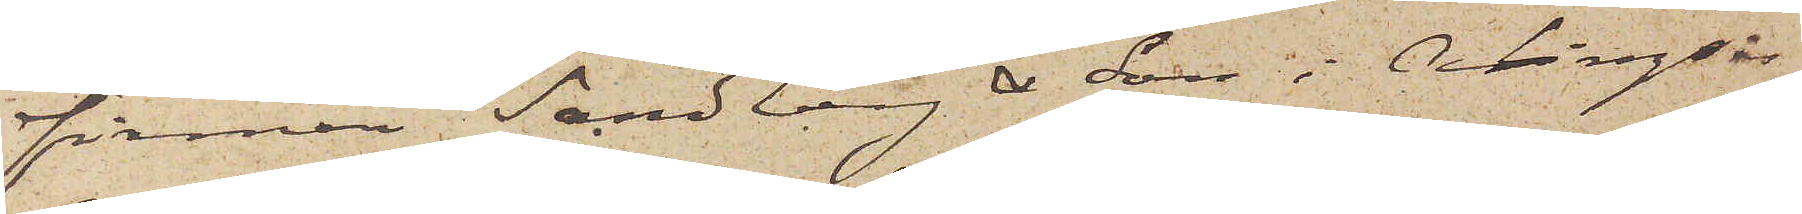firman Sandberg & Son i Alingsås,
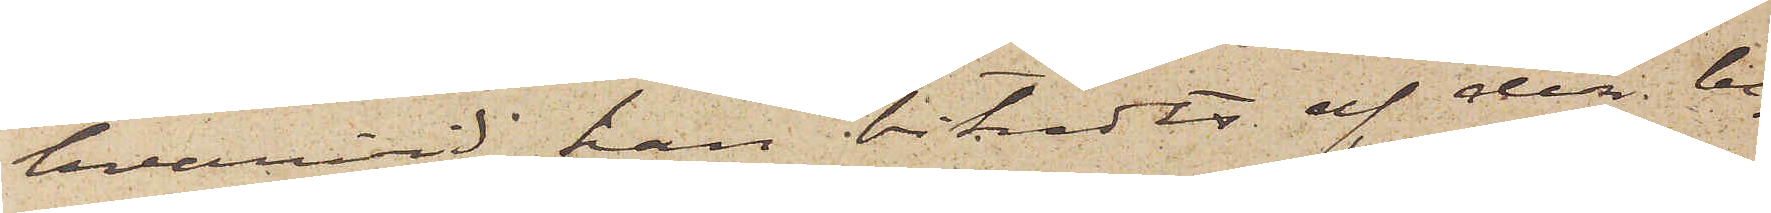hvarvid han biträdts af den be¬
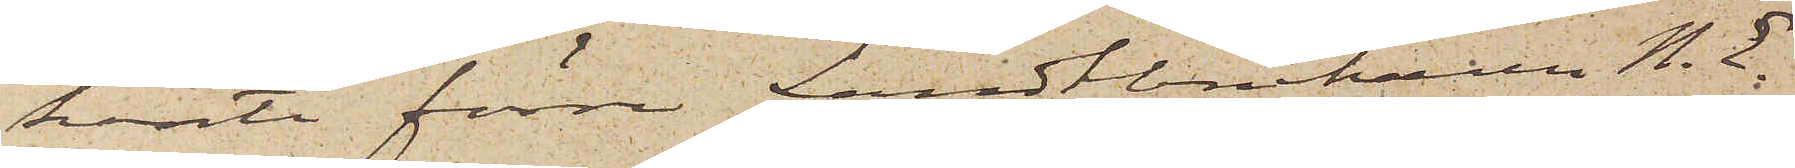kante förre Landtbrukaren N. E.
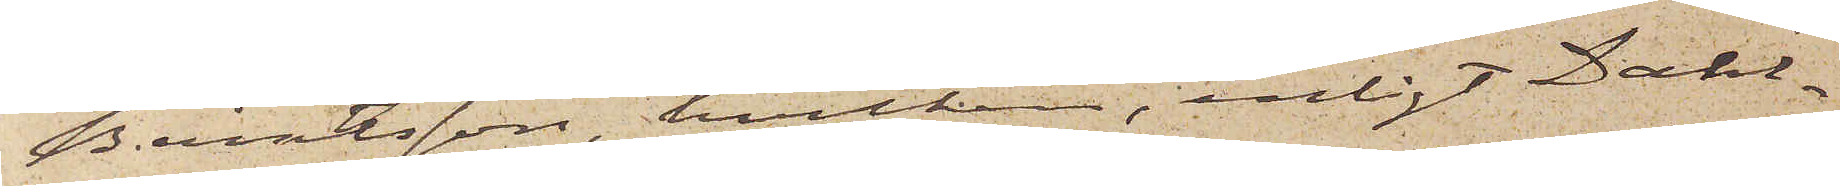Berntsson, hvilken, enligt Dahl¬
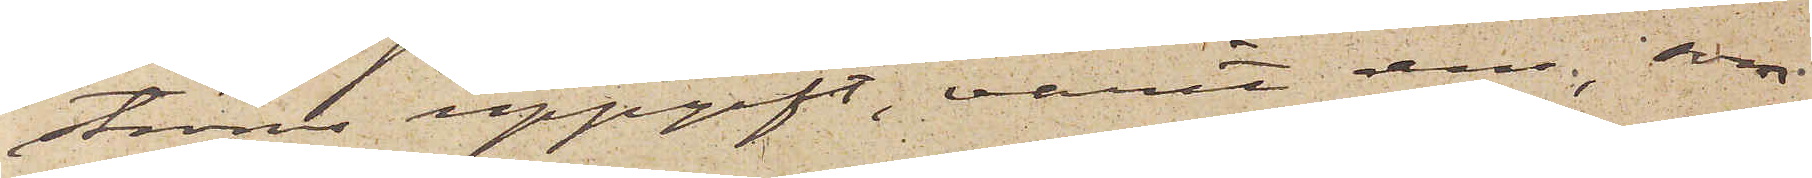ströms uppgift, varit dem, som
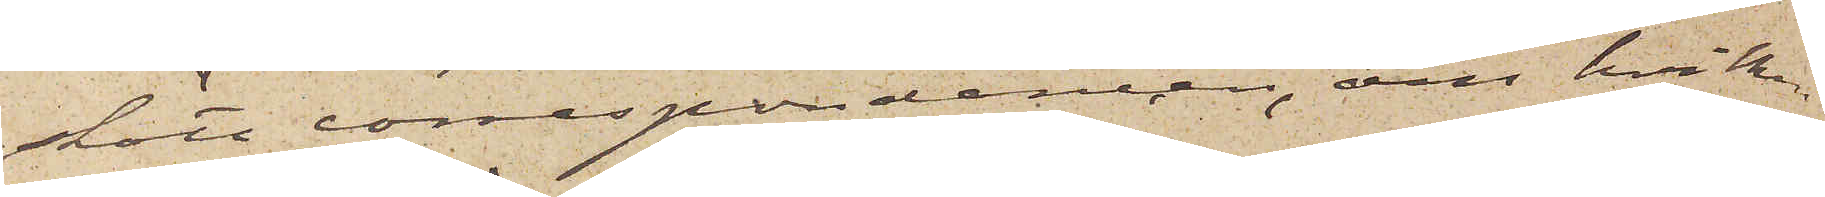skött correspondencen, om hvilken
